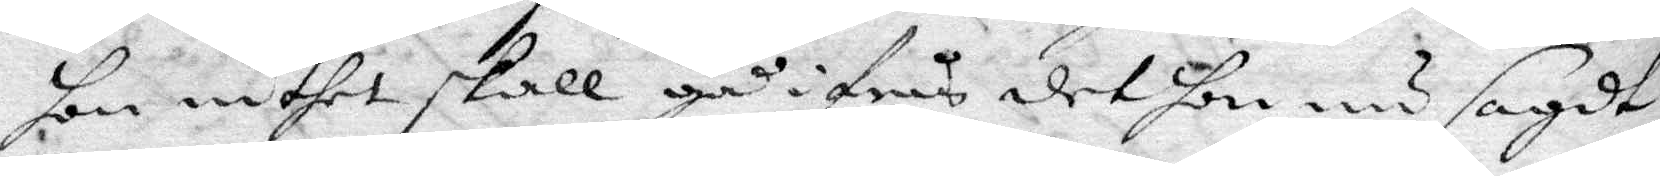hon intet skall gå ifrån det hon nu sagdt,
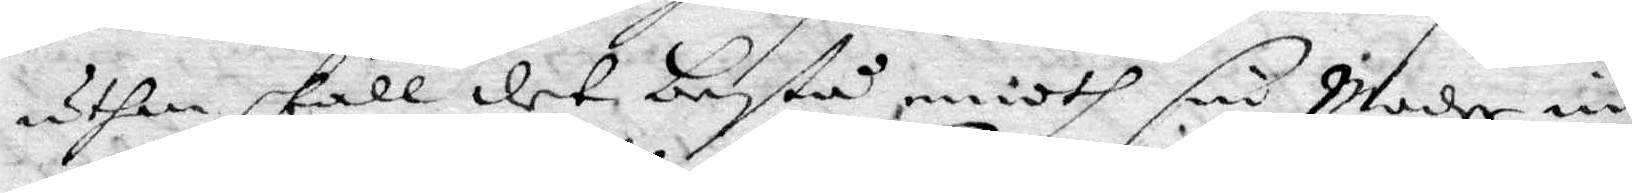uthan skall det bestå emoth sin Moder in
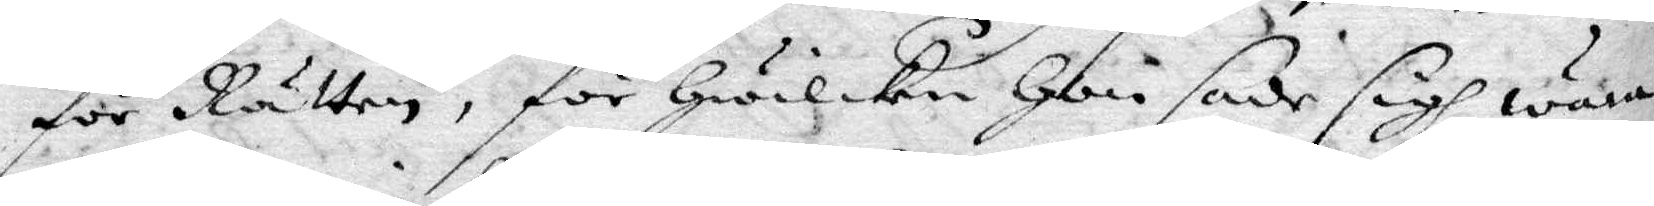för Rätten, för hwilken Hon sade sigh wara
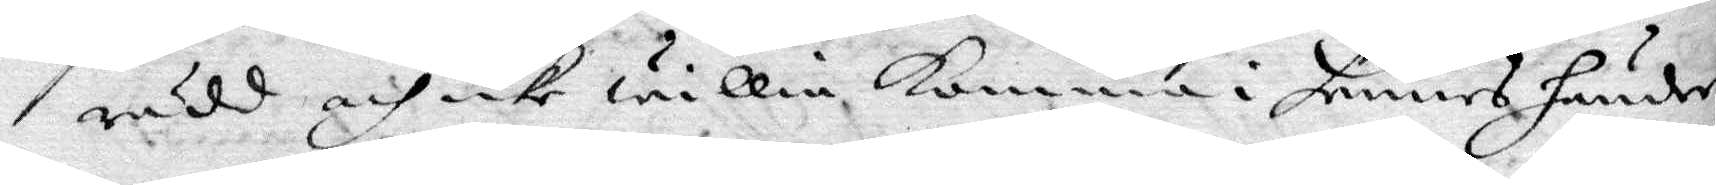rädd, och icke willia komma i hennes händer
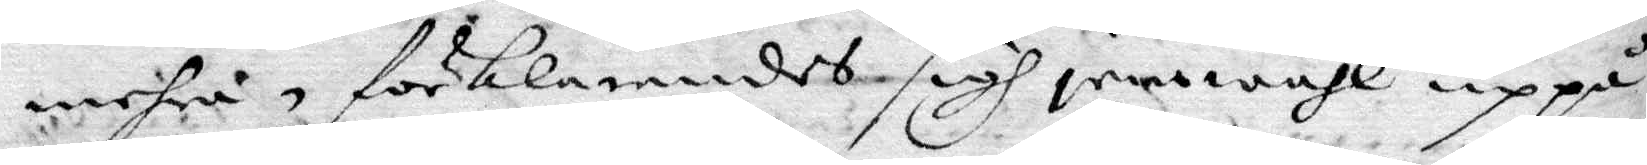mehra, förklarandes sigh jemwähl uppå
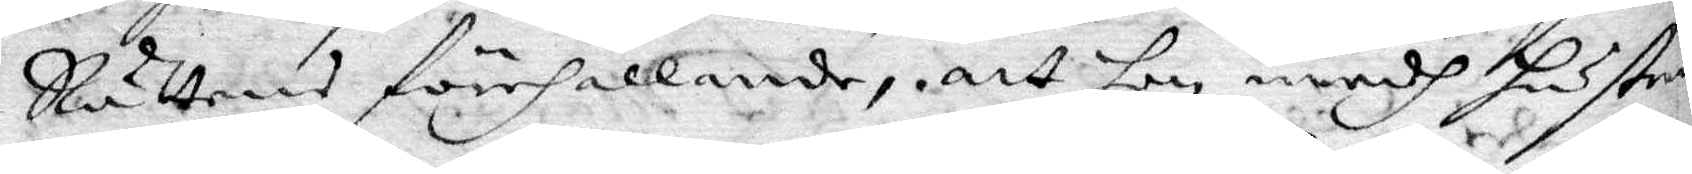Rättens förehållande, att hon medh hustru
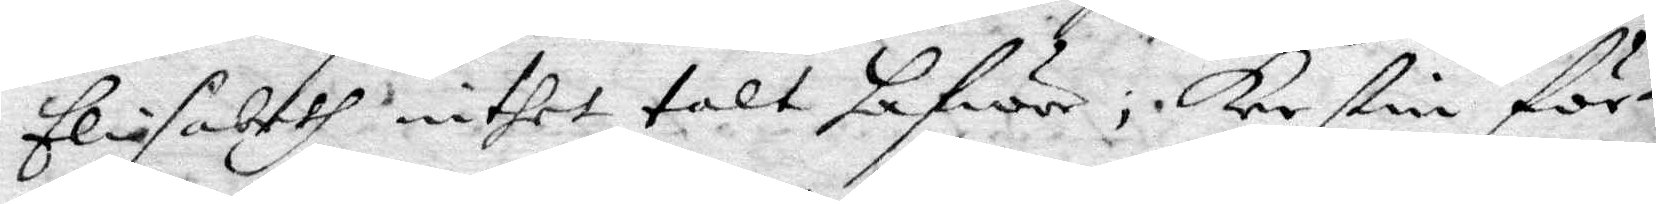Elisabeth intet talt hafwer; Kerstin för¬
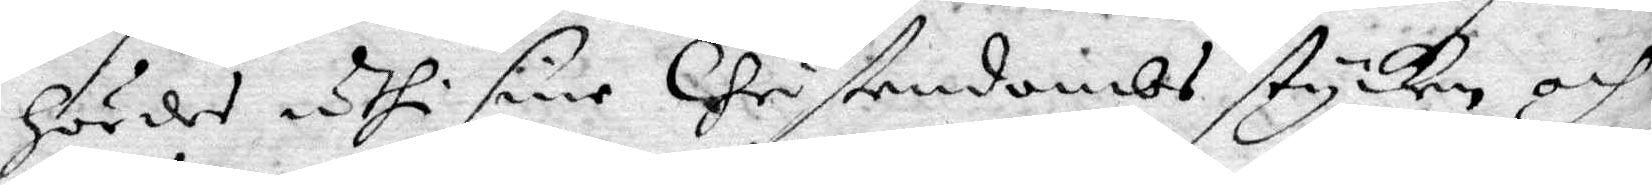hördes uthi sine Christendombs stycken och
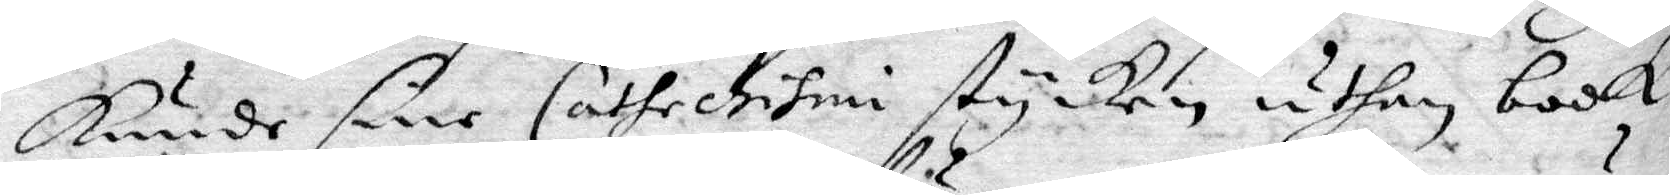kunde sine Cathechismu stycken uthan book
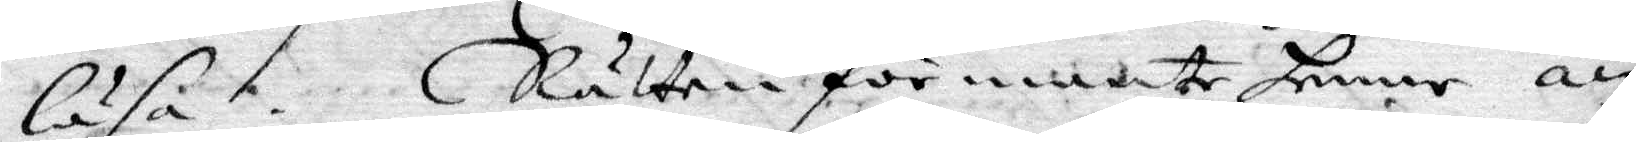läsa. Rätten förmante henne än
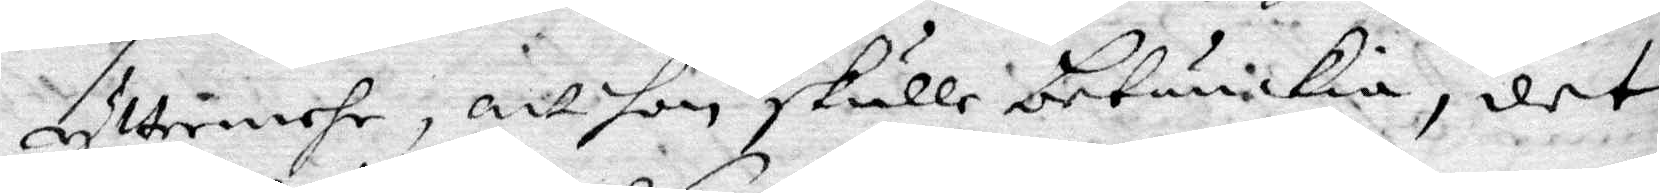yttermehr, att hon skulle betänkia, det
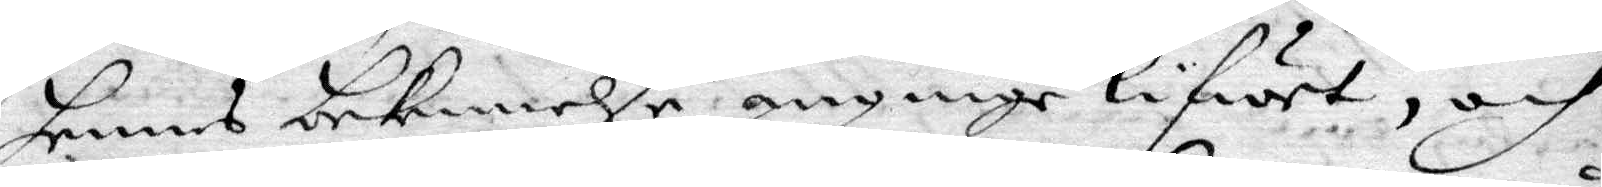hennes bekennelse anginge lifwet, och
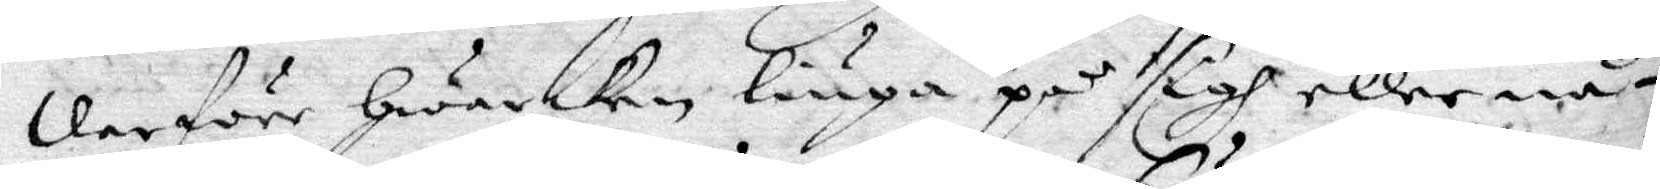derföre hwarken liuga på sigh eller nå¬
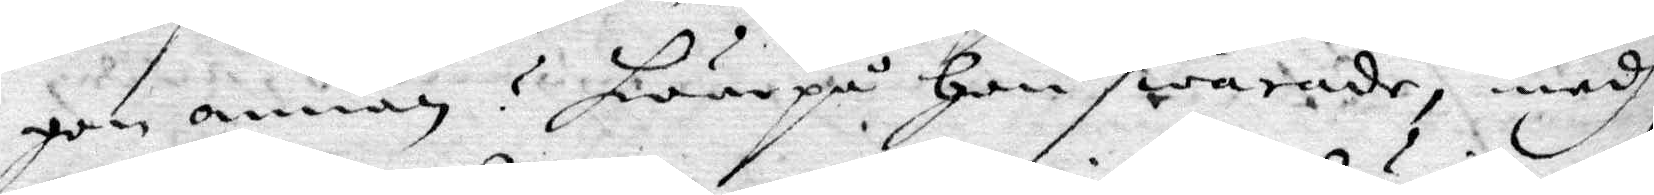gen annan? hwarpå hon swarade, medh
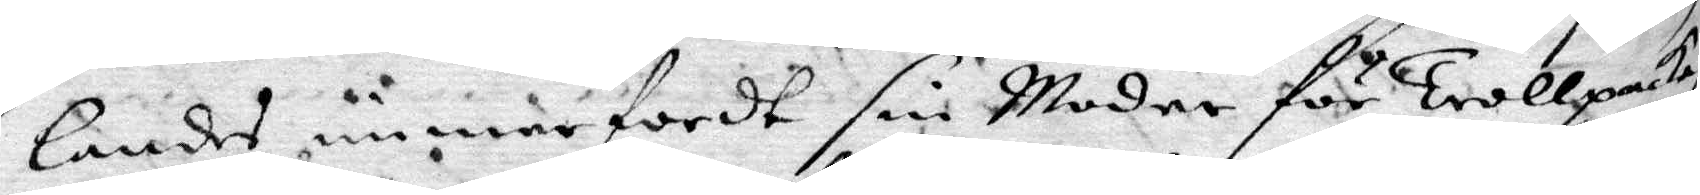landes immerfordt sin Moder för Trollpacka,
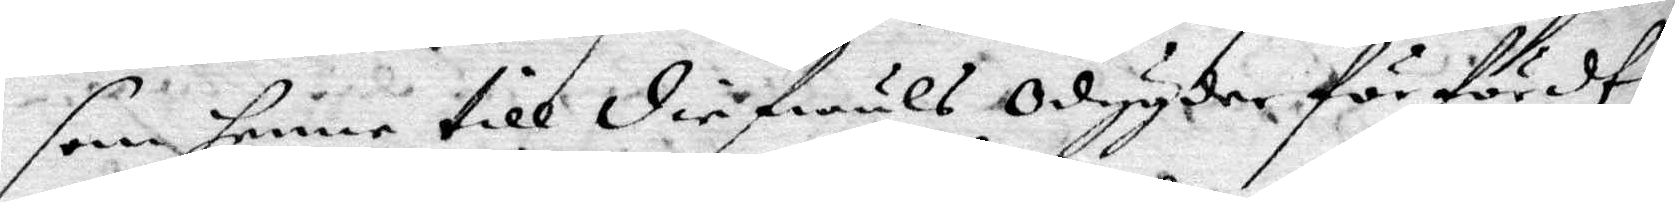som henne till diefwuls odygder förfördt,
